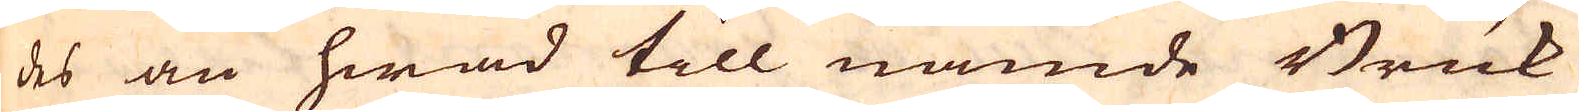des än hwad till nämde Bruk
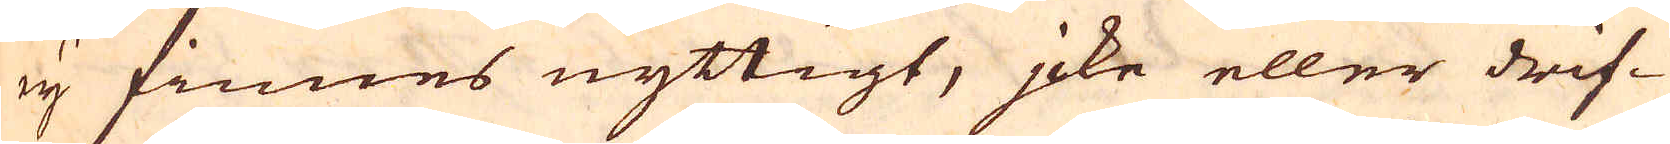ey finnes nyttigt, jcke eller drif-
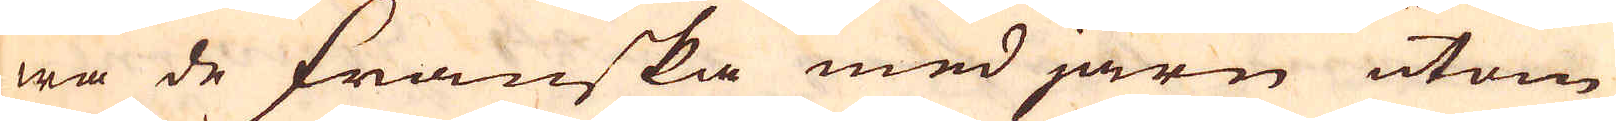wa de Franska med järn utom
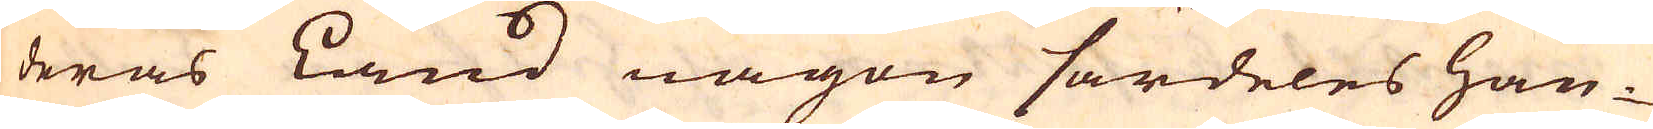deras Land någon särdeles han-
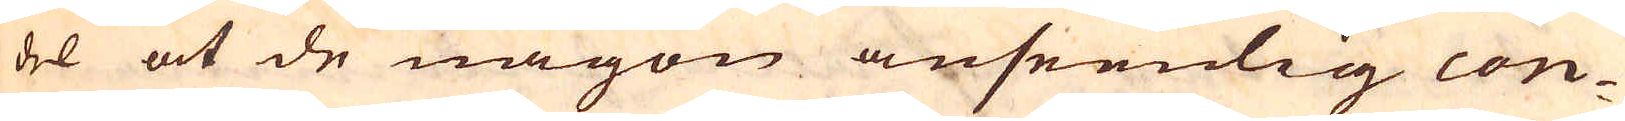del at de någon anseenlig con-
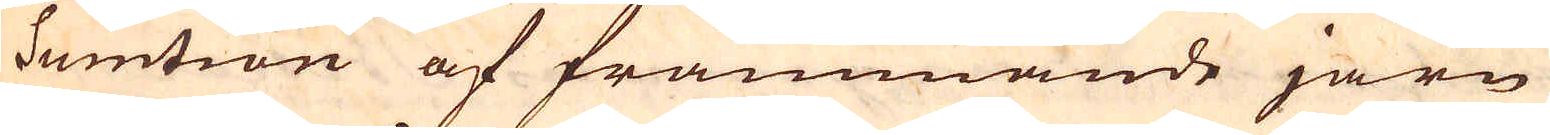sumtion af främmande järn
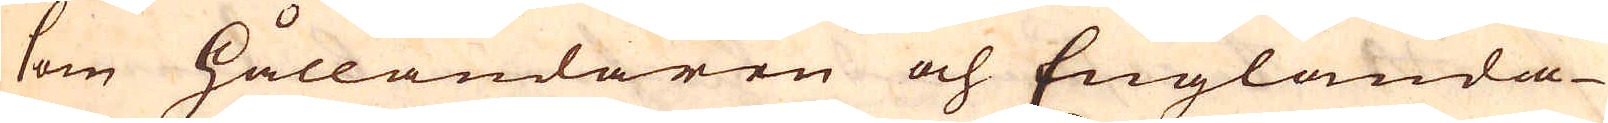som Hålländaren och Englända-
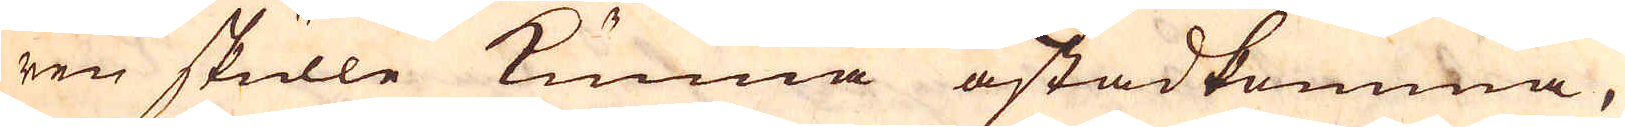ren skulle kunna åstadkomma,
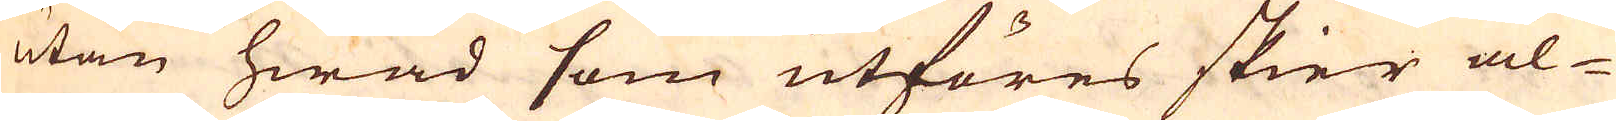utan hwad som utföres skier al-
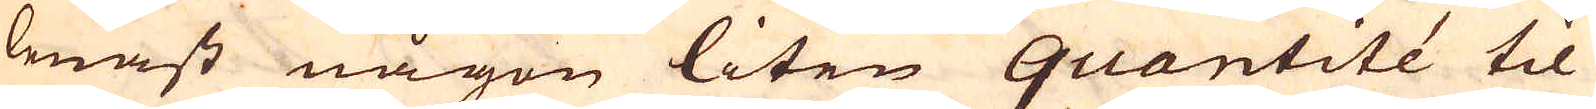lenast någon liten quantité til
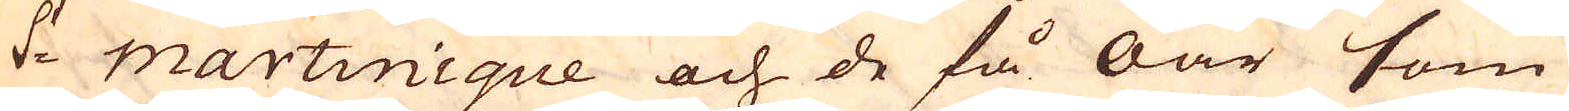S:t martinique och de få öar som
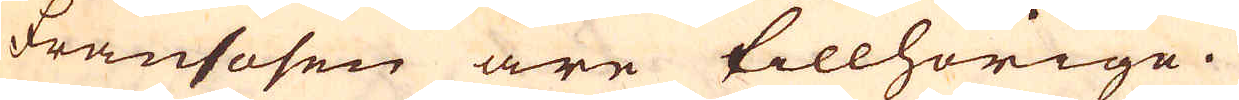fransosen äre tillhörige.
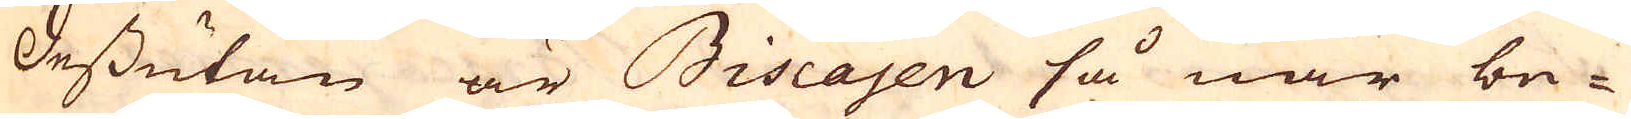Dessutan är Biscajen så när be-
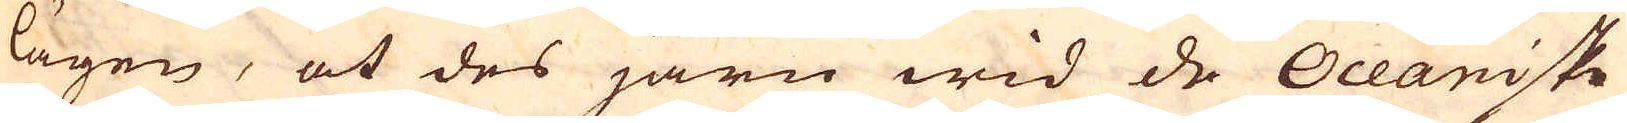lägen, at des järn wid de Oceaniske
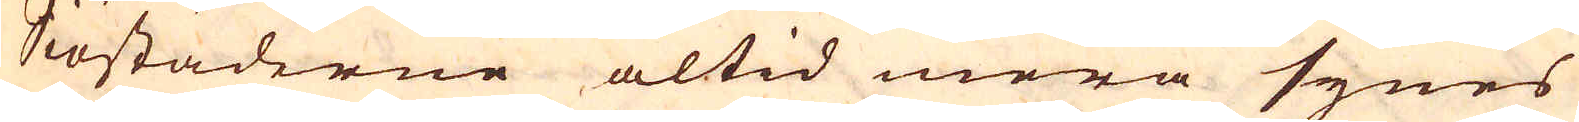Siöstäderne altid mera synes
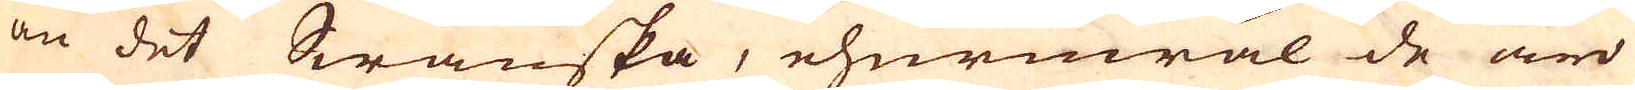än det Swänska, ehuruwäl de äro
